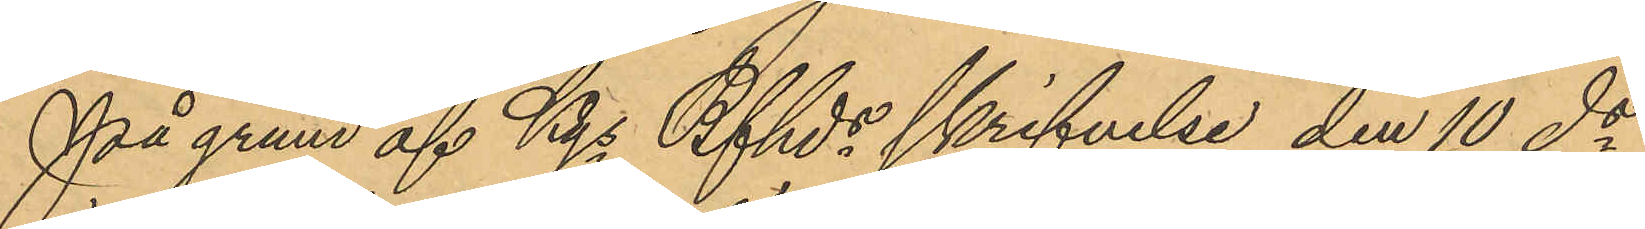På grund af Kgs Bfhds skrifvelse den 10 ds
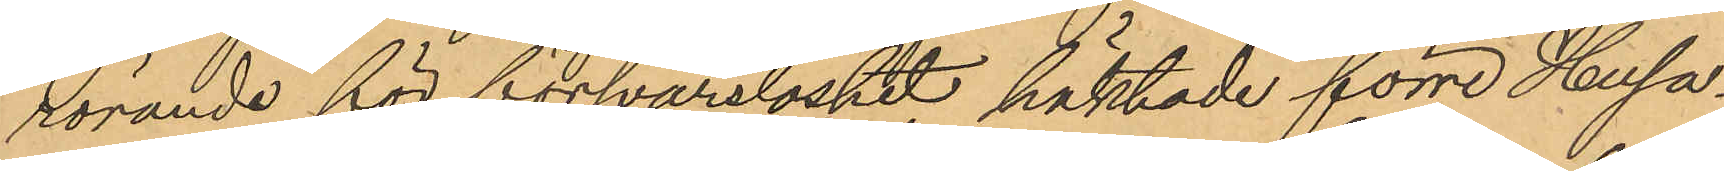rörande för försvarslöshet häktade förre Husa¬
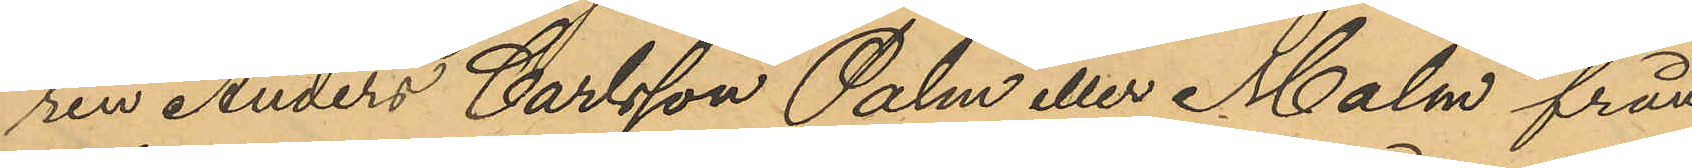ren Anders Carlsson Palm eller Malm från
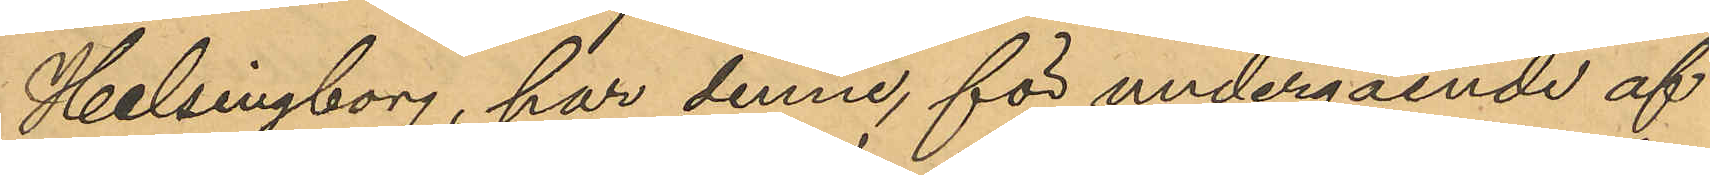Helsingborg, har denne, för undergående af
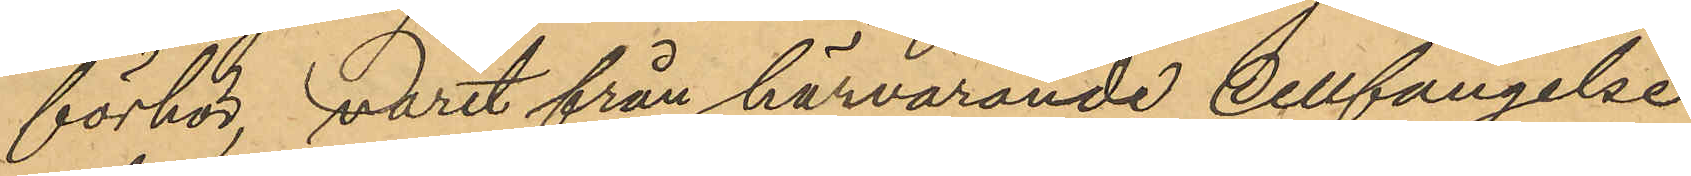förhör, varit från härvarande Cellfängelse
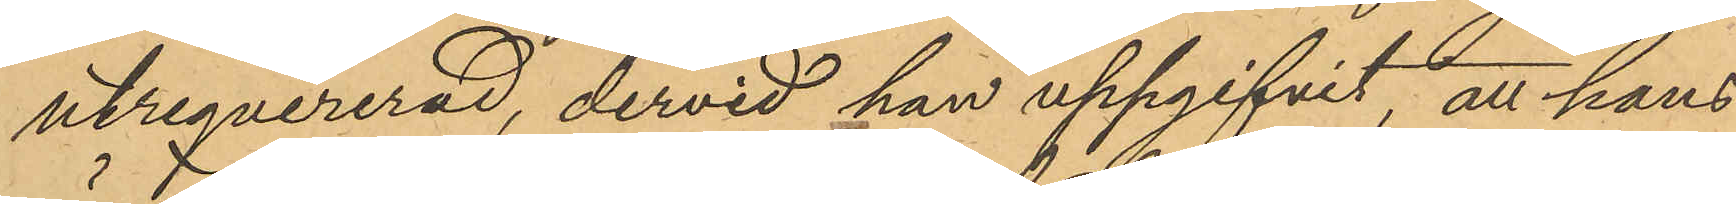utreqvirerad, dervid han uppgifvit, att hans
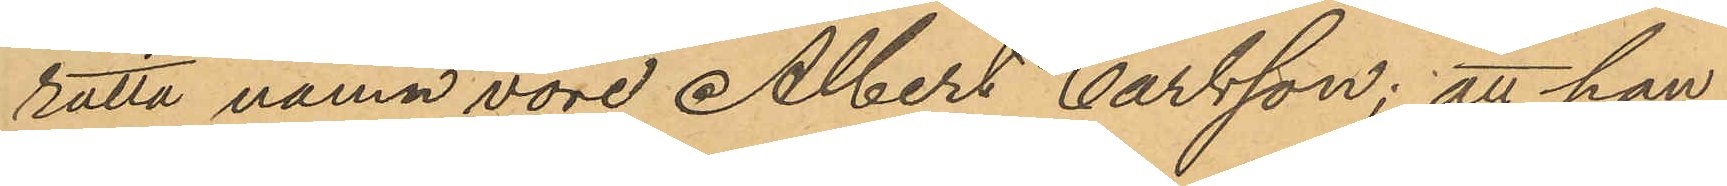rätta namn vore Albert Carlsson; att han
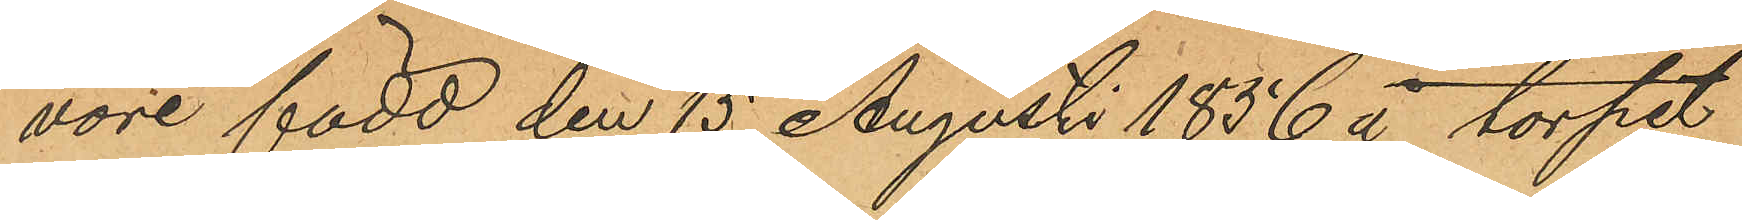vore född den 15 Augusti 1856 å torpet
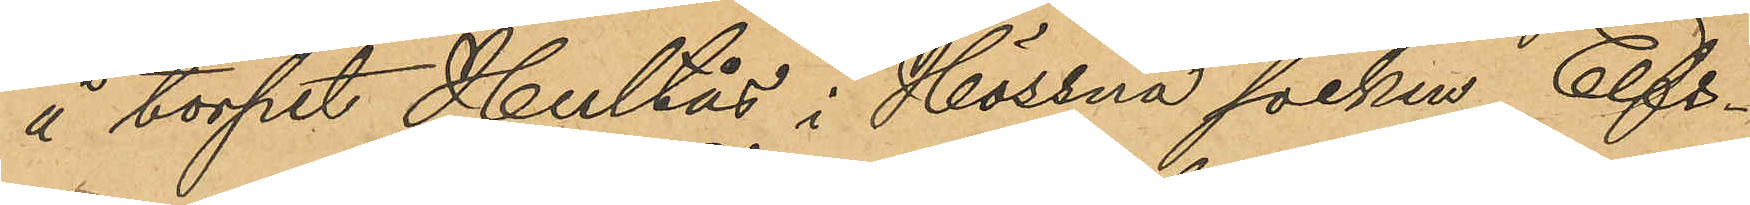å torpet Hultås i Hössna socken Elfs¬
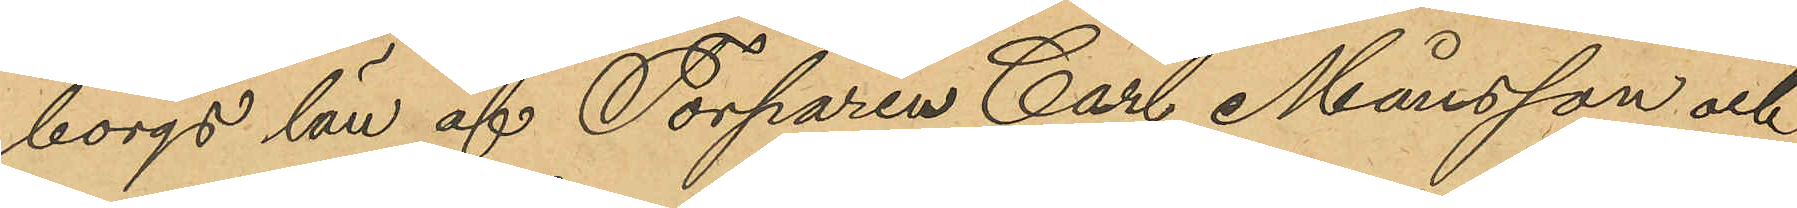borgs län af Torparen Carl Månsson och
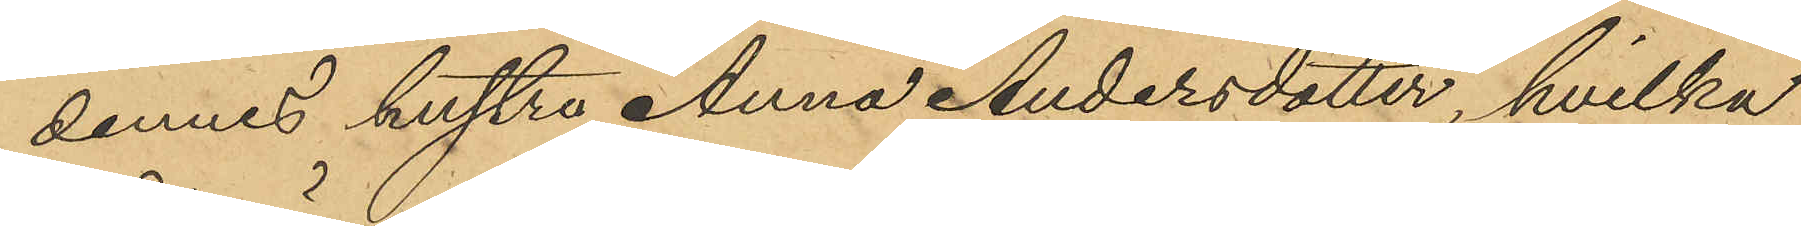dennes hustru Anna Andersdotter, hvilka
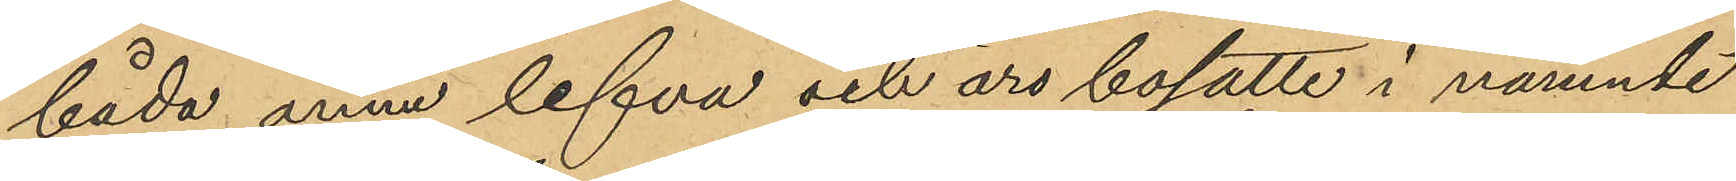båda ännu lefva och äro bosatte i nämnde
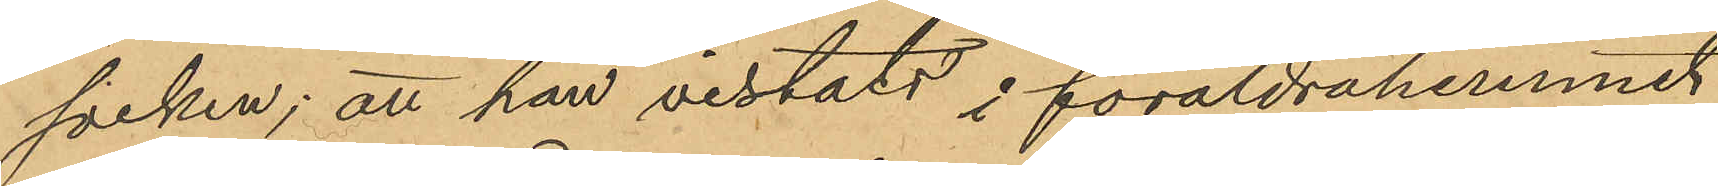socken; att han vistats i föräldrahemmet
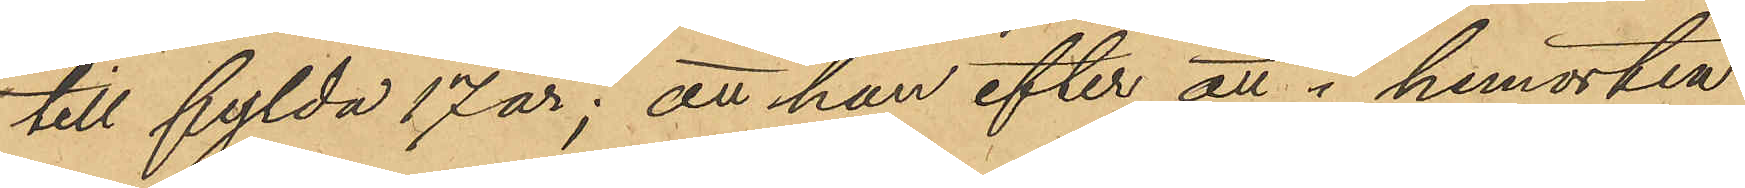till fylda 17 år; att han efter att i hemorten
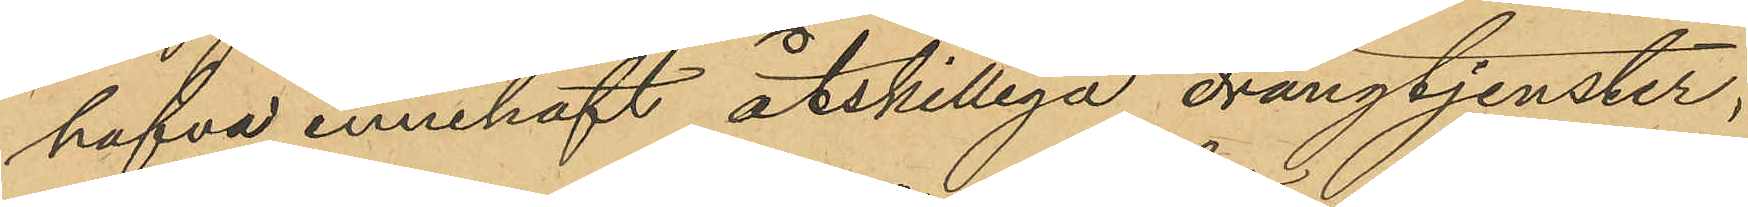hafva innehaft åtskilliga drängtjenster,
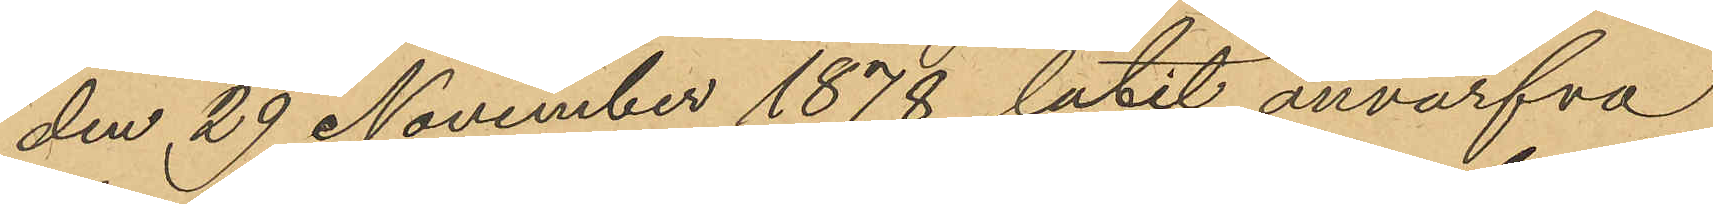den 29 November 1878 låtit anvärfva
